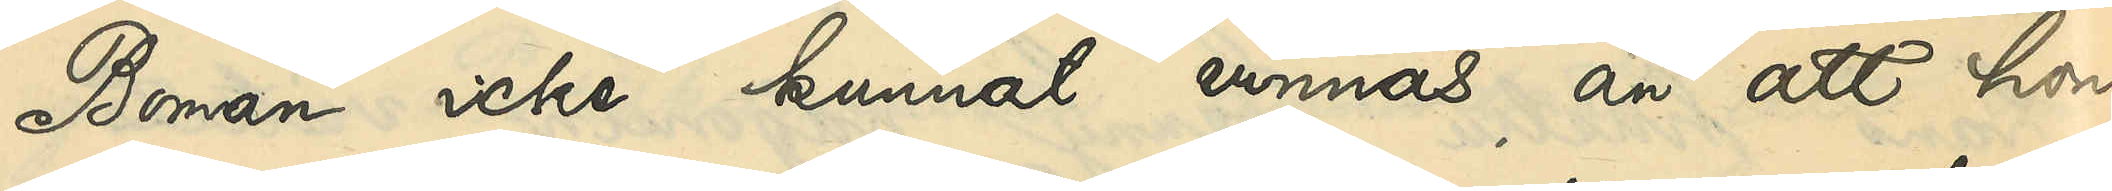Boman icke kunnat vinnas än att hon
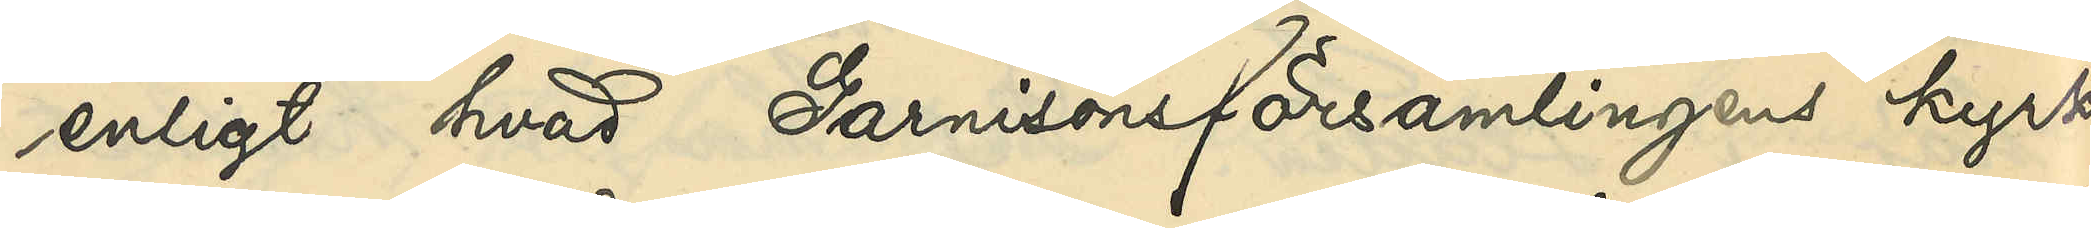enligt hvad Garnisonsförsamlingens kyrko¬
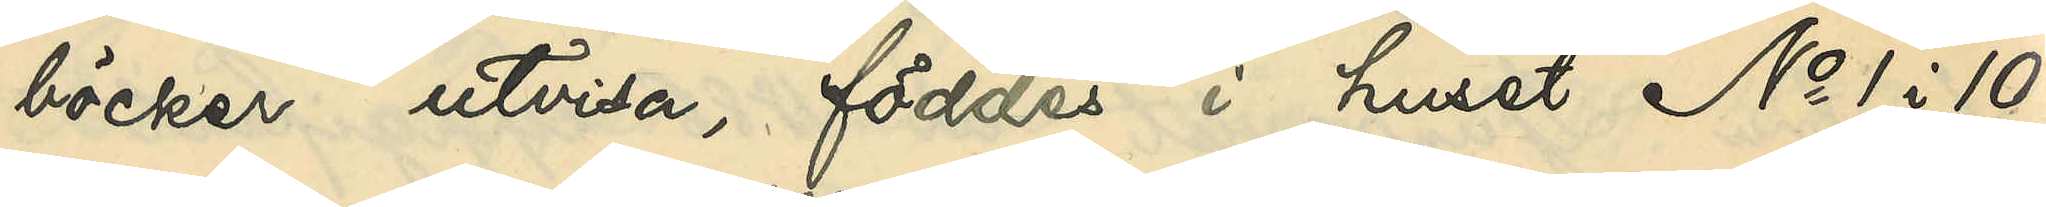böcker utvisa, föddes i huset No 1 i 10de
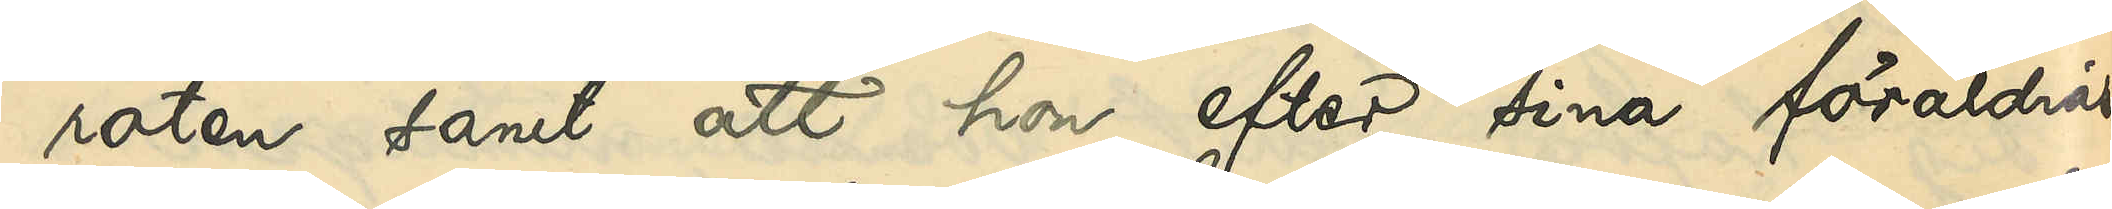roten samt att hon efter sina föräldrars
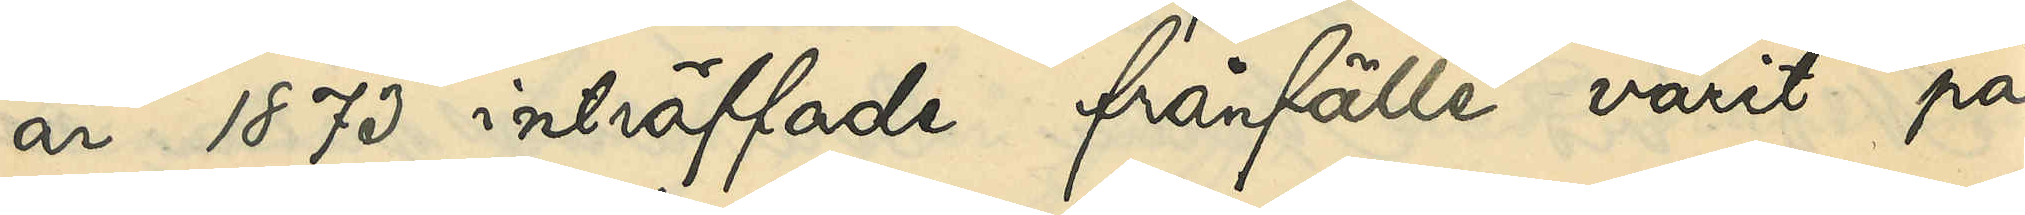år 1873 inträffade frånfälle varit på
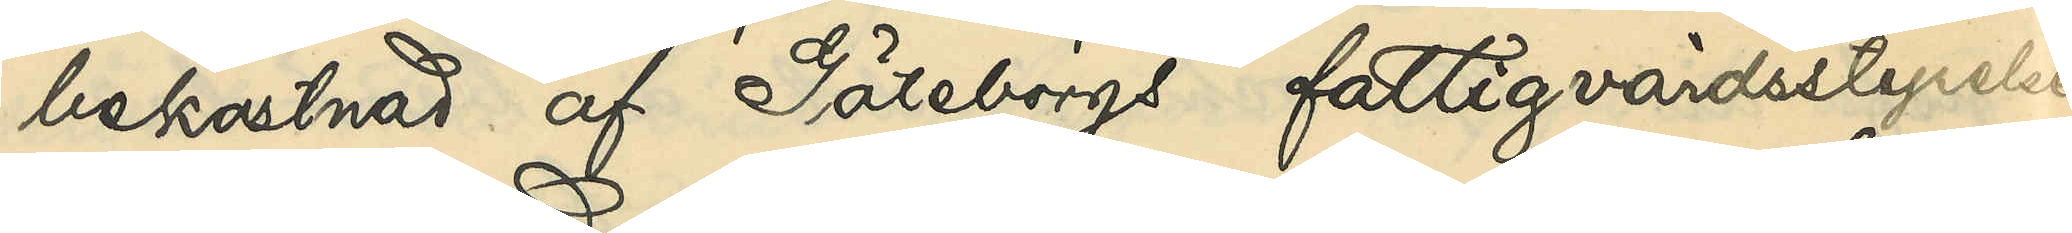bekostnad af Göteborgs fattigvårdsstyrelse
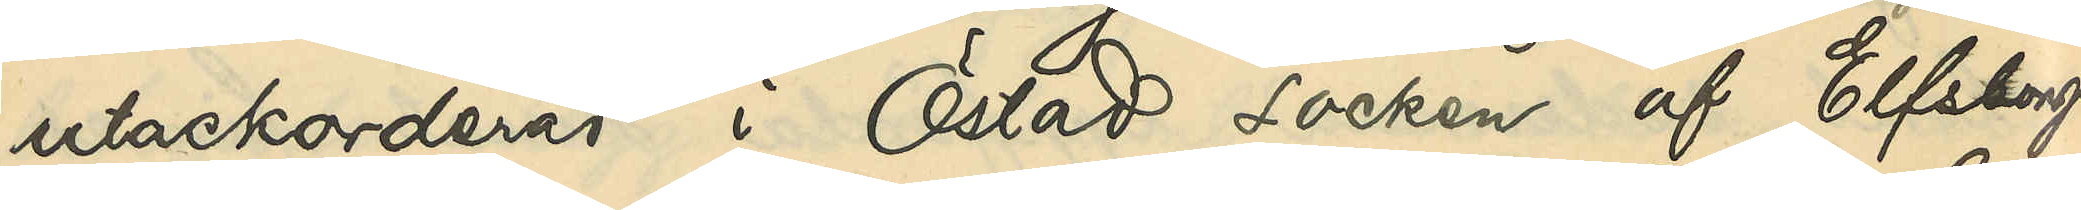utackorderad i Östad socken af Elfsborgs
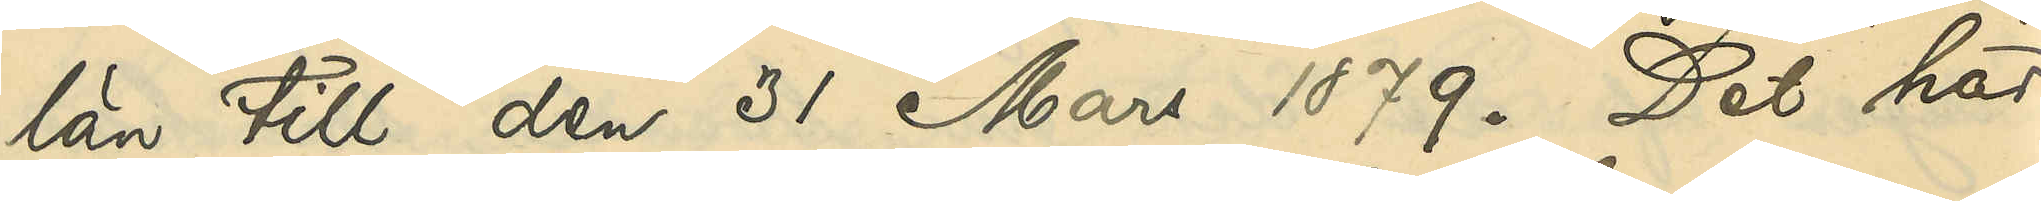län till den 31 Mars 1879. Det har
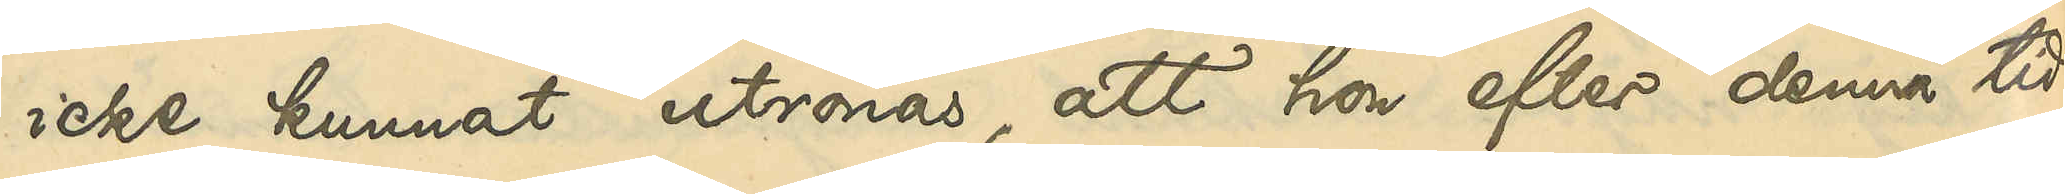icke kunnat utrönas, att hon efter denna tid
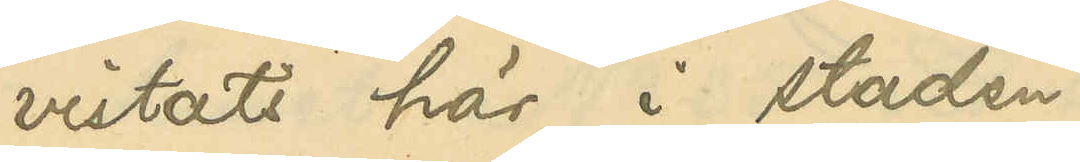vistats här i staden.
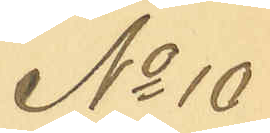No 10
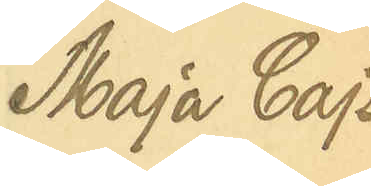Maja Cajsa
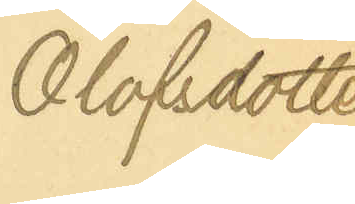Olofsdotter
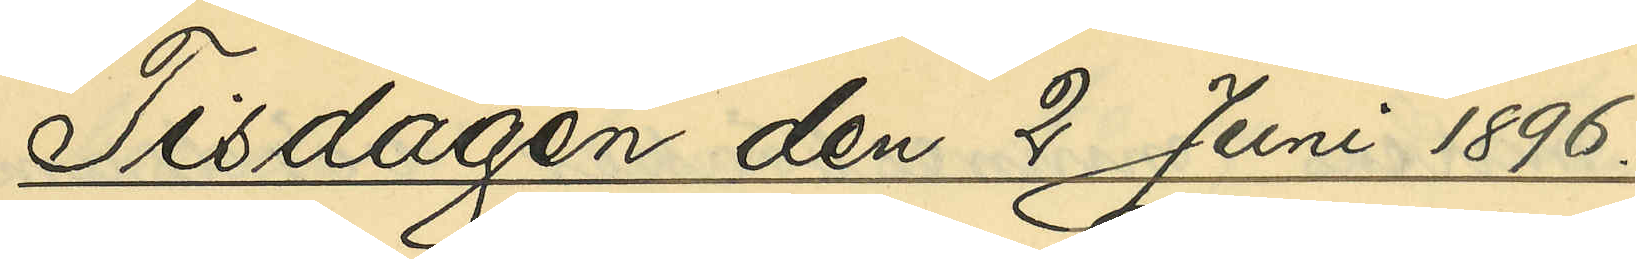Tisdagen den 2 Juni 1896.
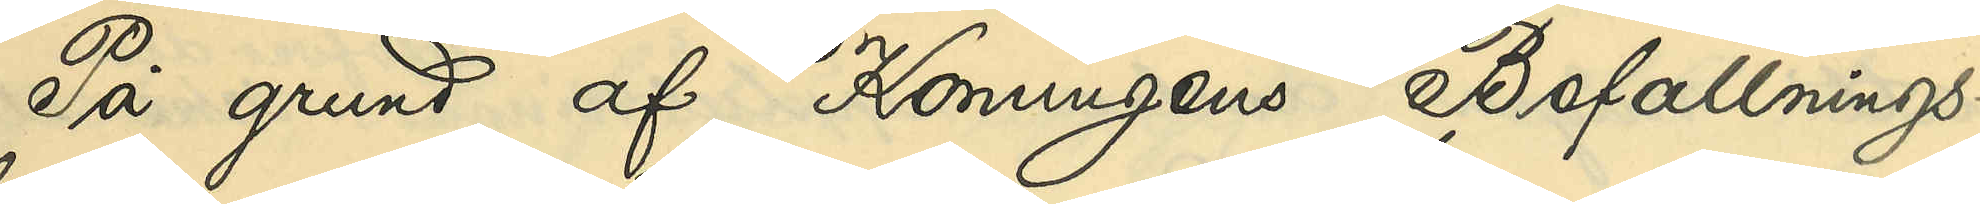På grund af Konungens Befallnings¬
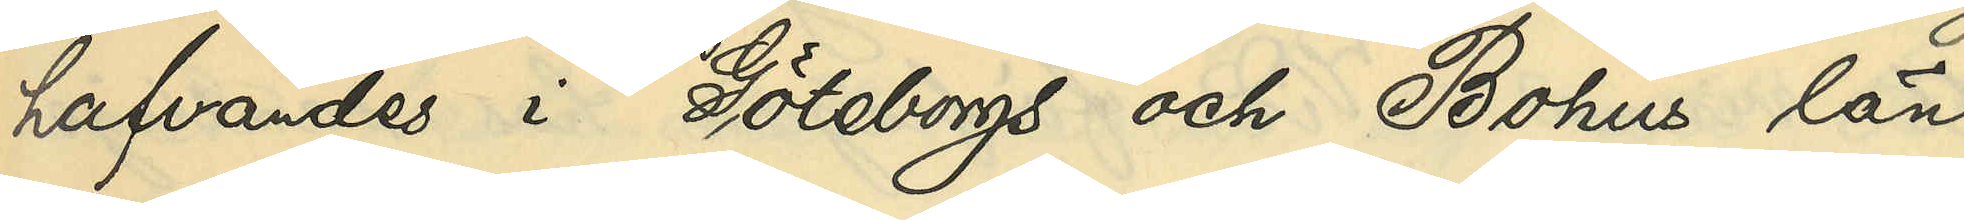hafvandes i Göteborgs och Bohus län
